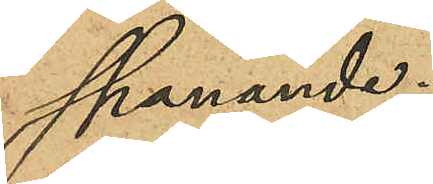spanande.
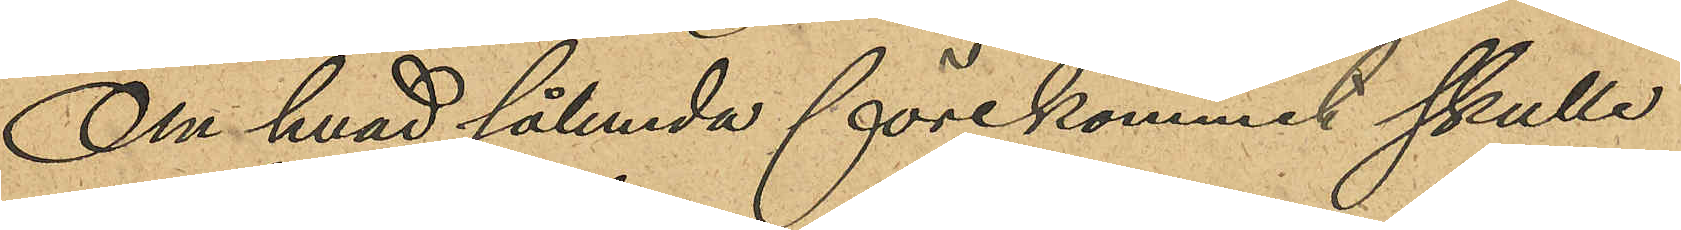Om hvad sålunda förekommit skulle
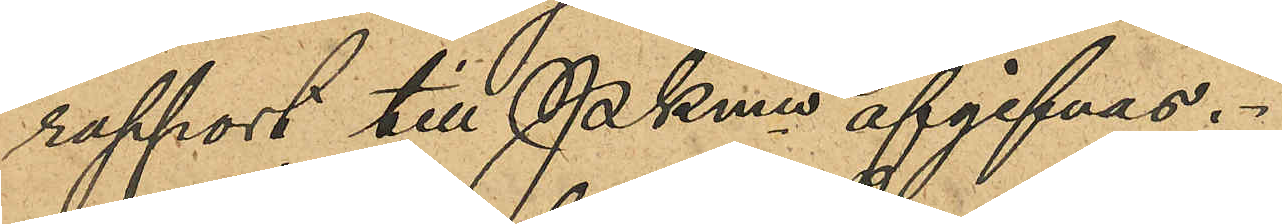rapport till PKmn afgifvas.
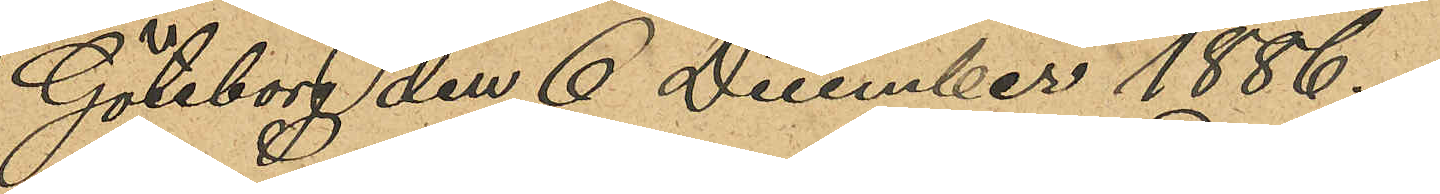Göteborg den 6 December 1886.
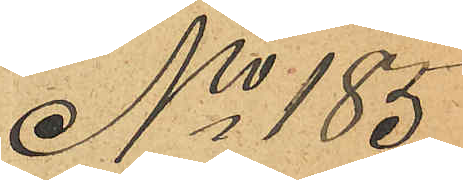No 185
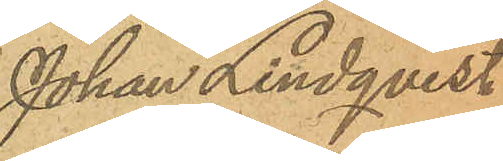Johan Lindqvist
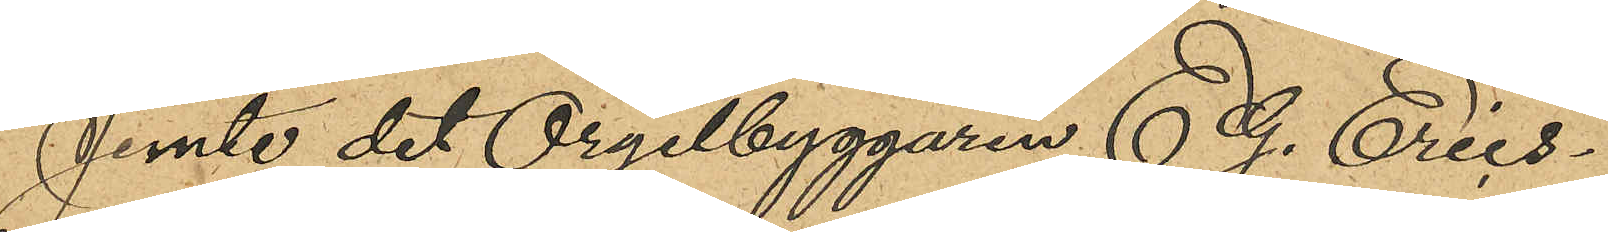Jemte det Orgelbyggaren E. G. Erics¬
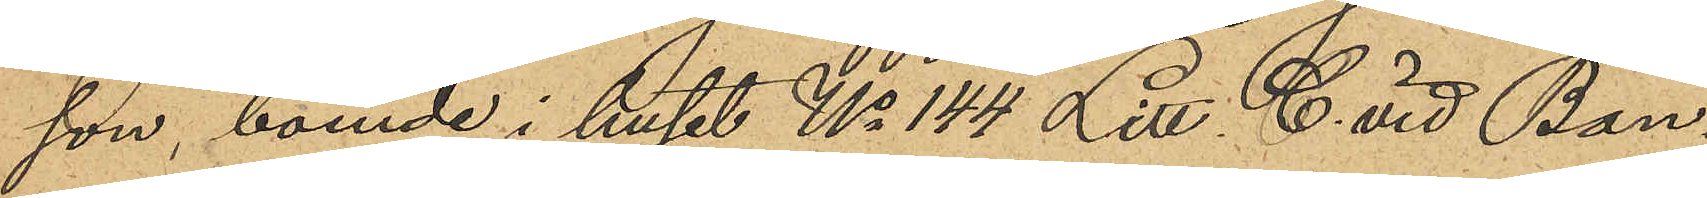son, boende i huset No 144 Litt. C. vid Ban¬
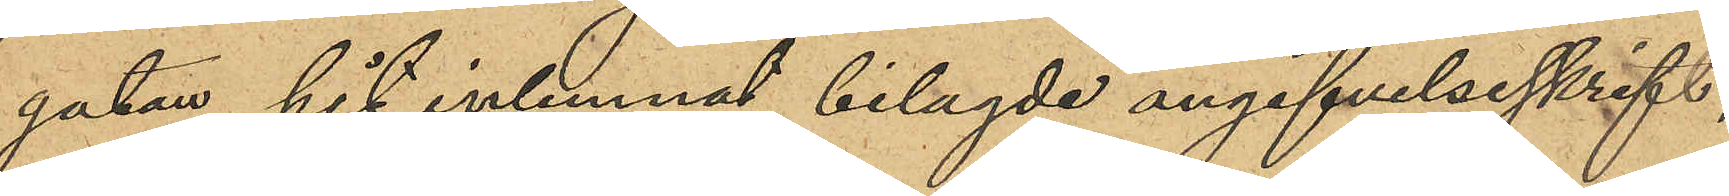gatan hit inlemnat bilagde angifvelseskrift,
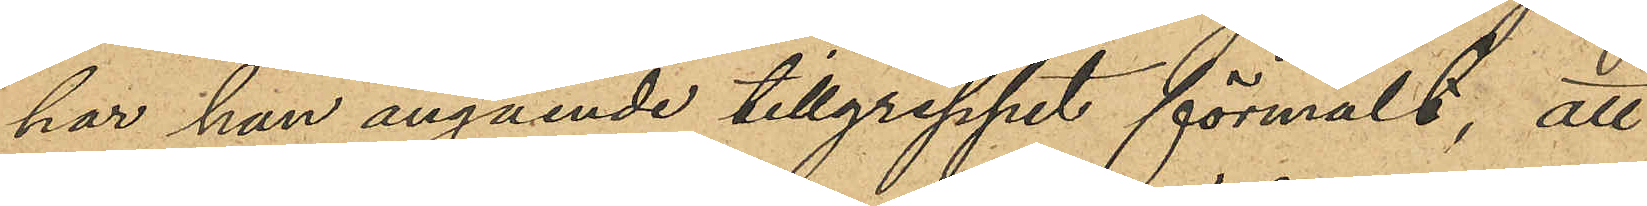har han angående tillgreppet förmält, att
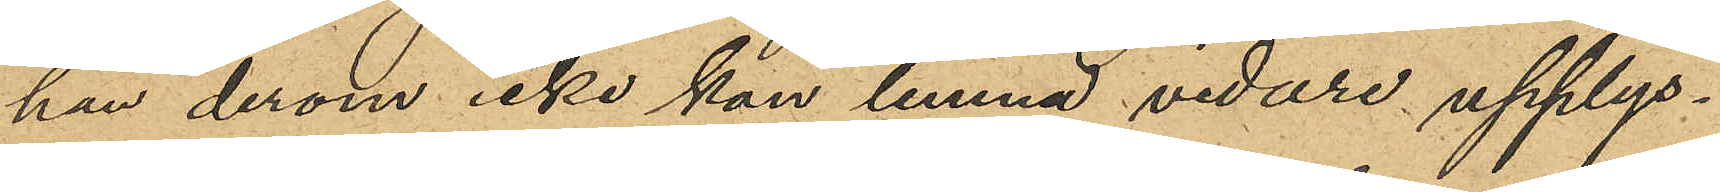han derom icke kan lemna vidare upplys¬
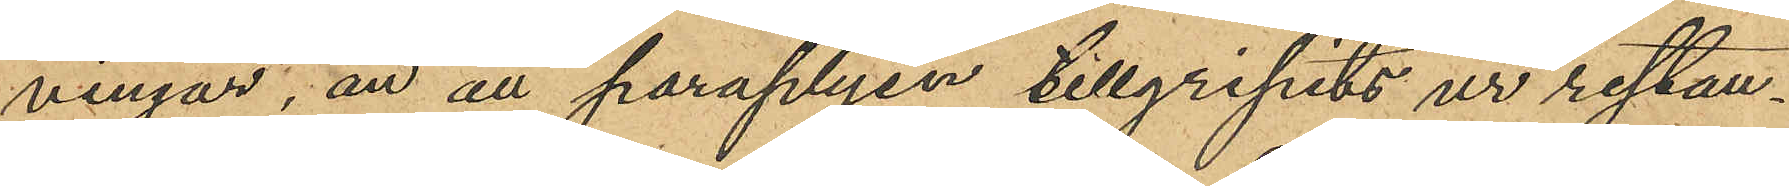ningar, än att paraplyen tillgripits ur restau¬
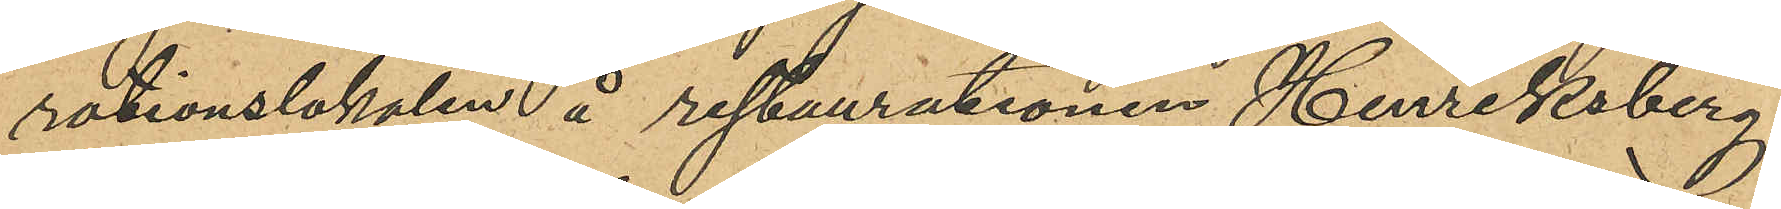rationslokalen å restaurationen Henriksberg,
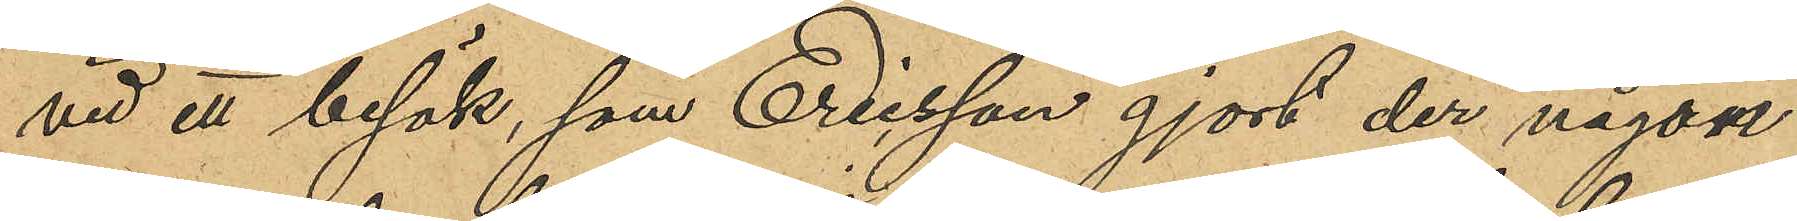vid ett besök, som Ericsson gjort der någon
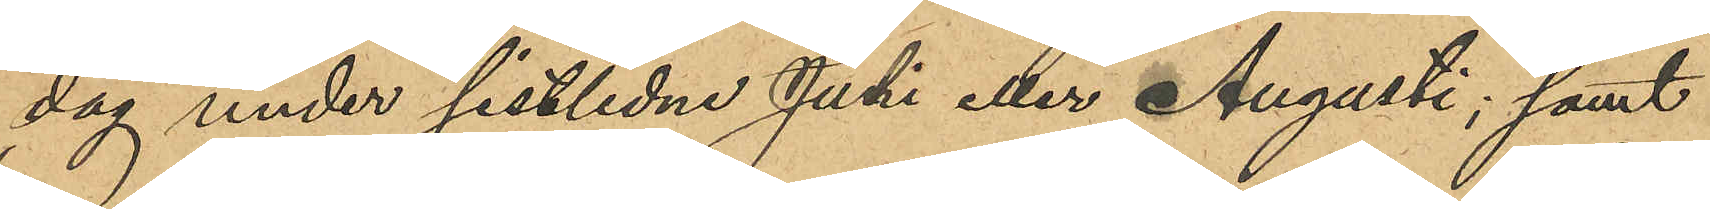dag under sistlidne Juli eller Augusti; samt
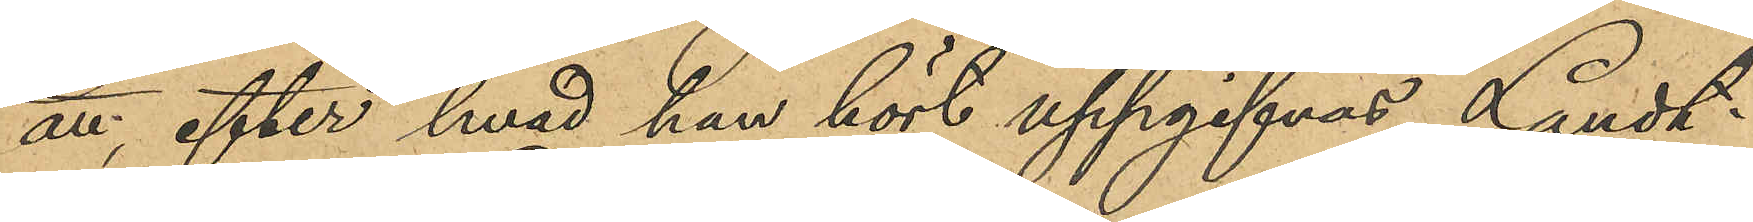att, efter hvad han hört uppgifvas, Landt¬
